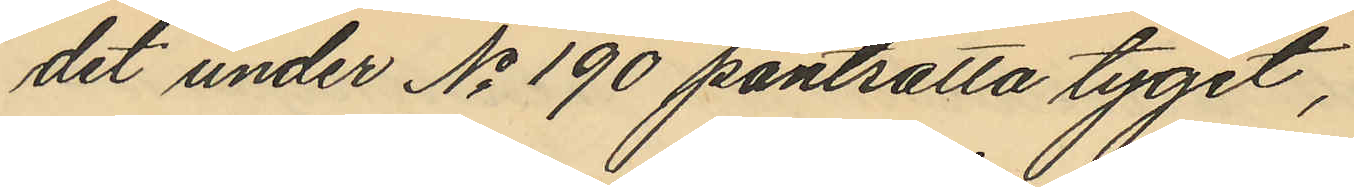det under No 190 pantsatta tyget,
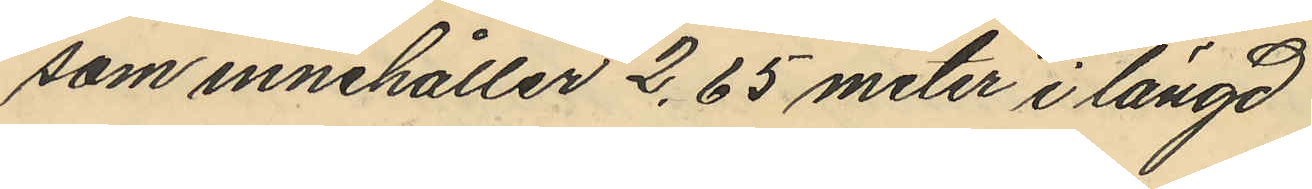som innehåller 2,65 meter i längd
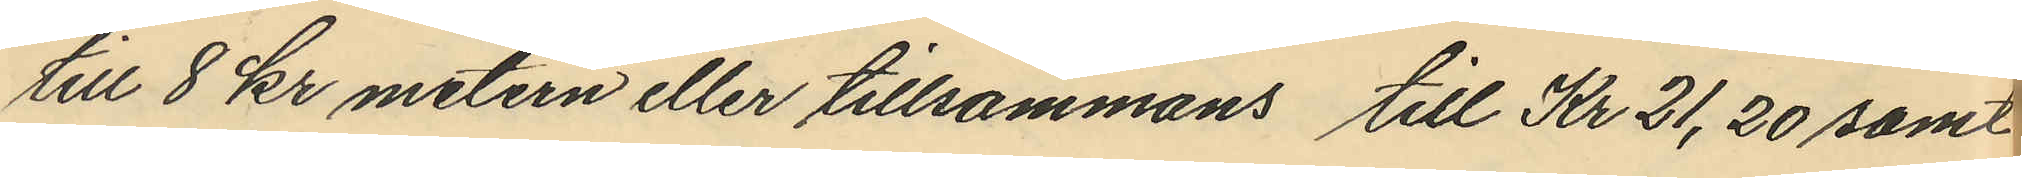till 8 kr metern eller tillsammans till Kr 21,20 samt
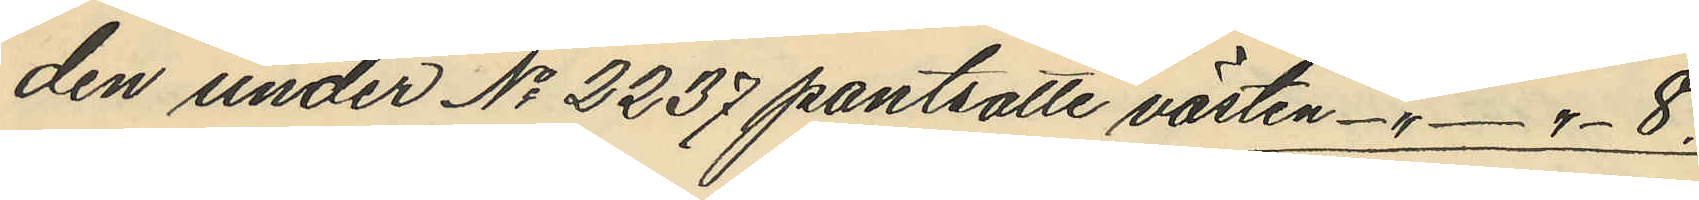den under No 2237 pantsatte västen -" - " - 8.
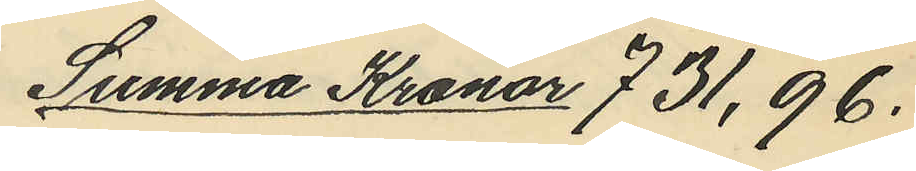Summa Kronor 731,96.
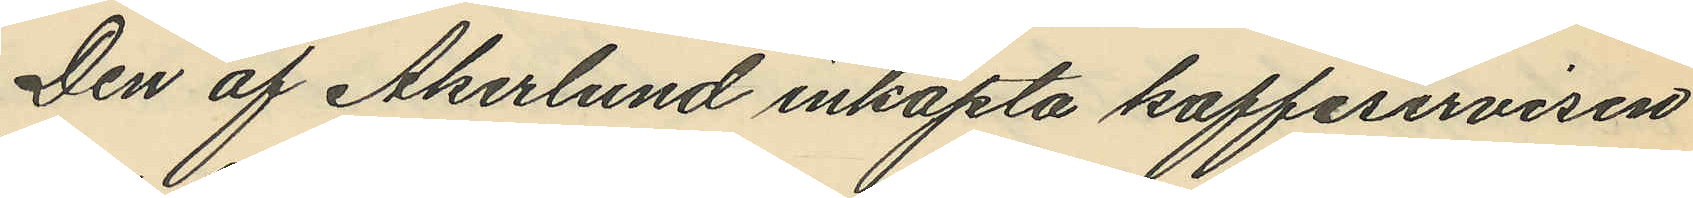Den af Åkerlund inköpta kaffeservisen
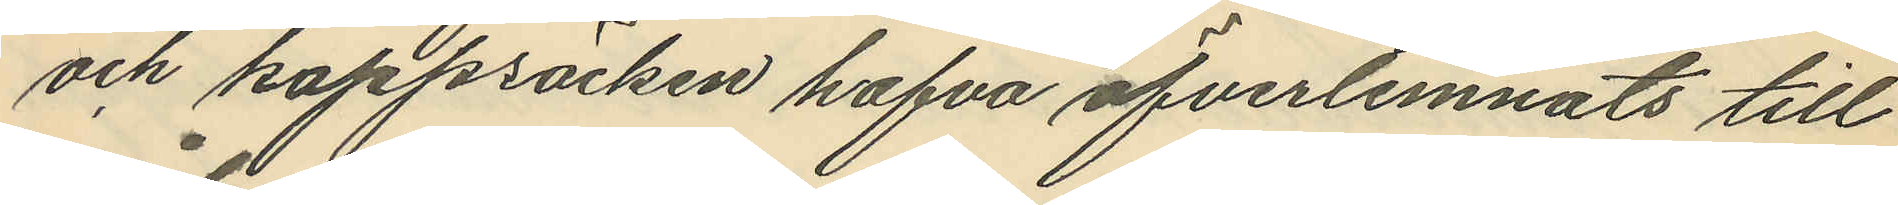och kappsäcken hafva öfverlemnats till
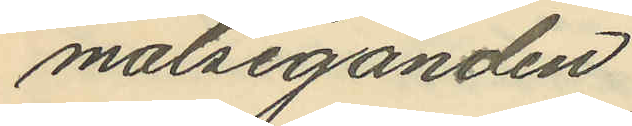målseganden.
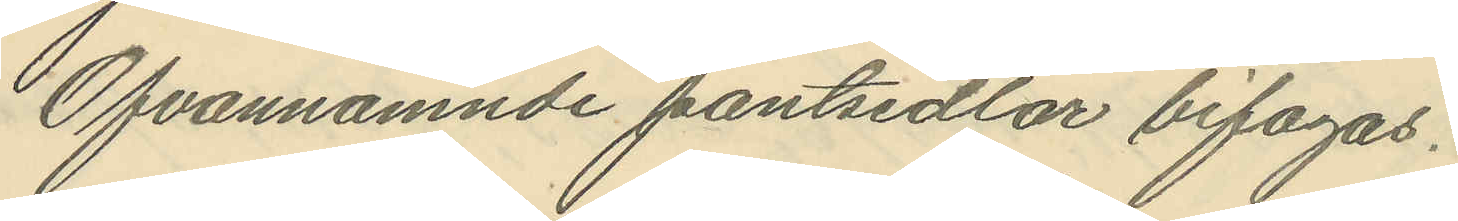Ofvannämnde pantsedlar bifogas.
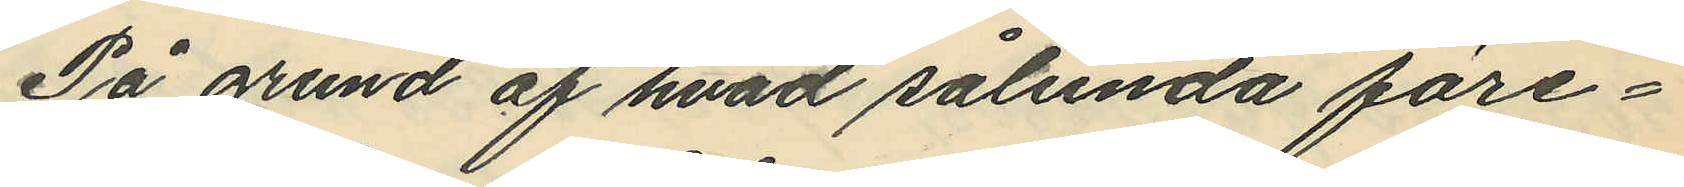På grund af hvad sålunda före¬
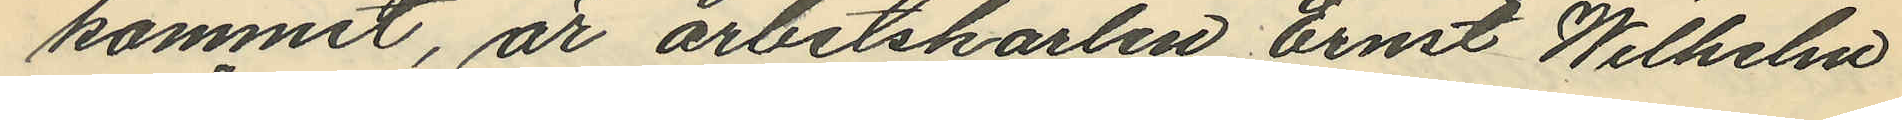kommit, är arbetskarlen Ernst Wilhelm
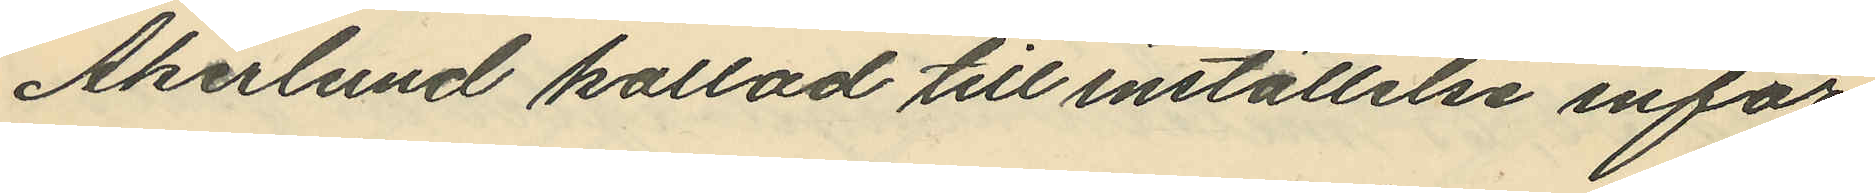Åkerlund kallad till inställelse inför
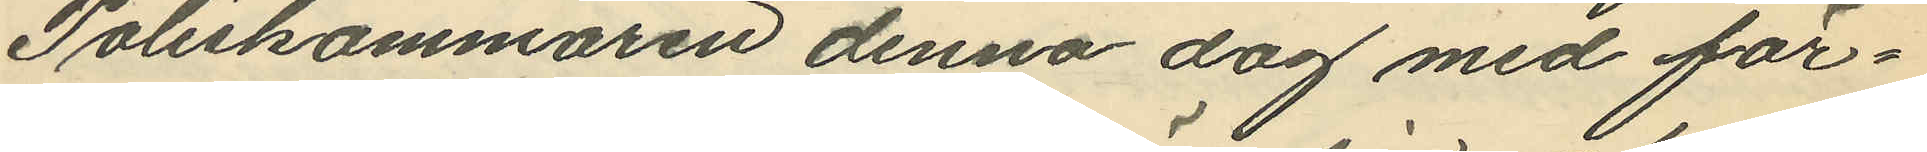Poliskammaren denna dag med för¬
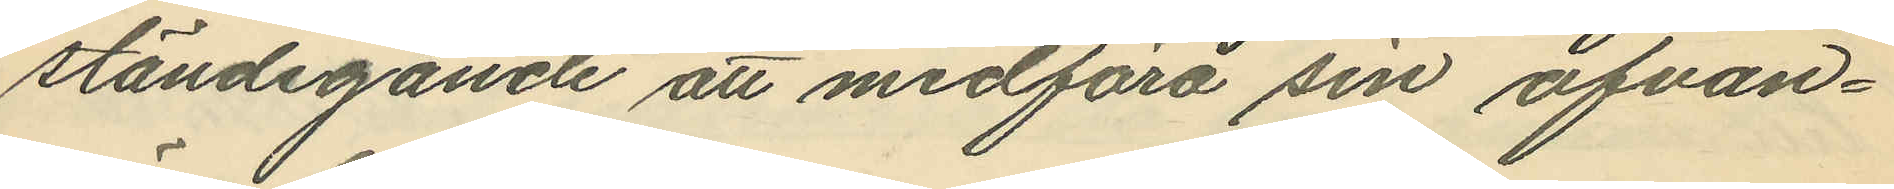ständigande att medföra sin ofvan¬
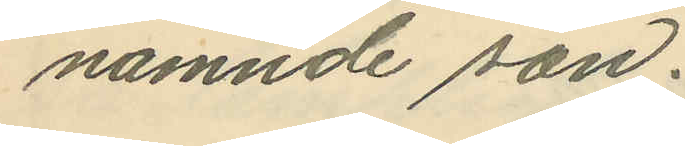nämnde son.
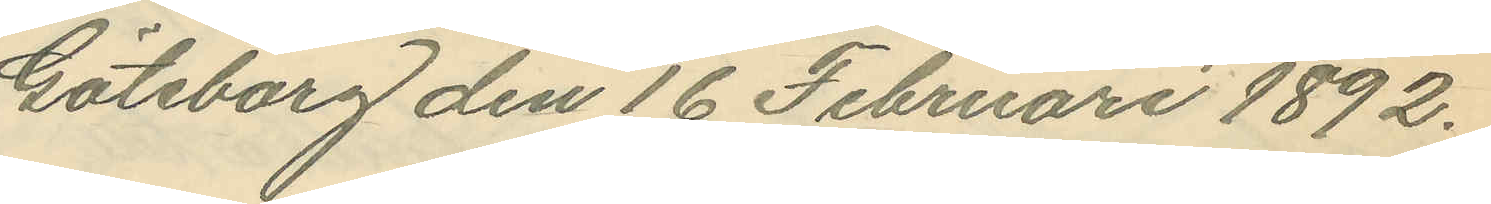Göteborg den 16 Februari 1892.
